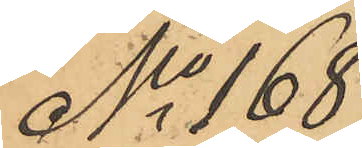No 168
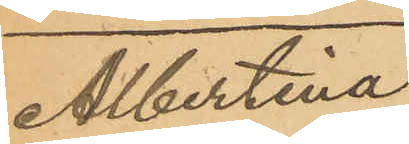Albertina
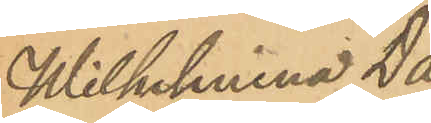Wilhelmina Da¬
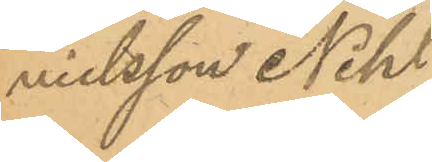nielsson Nihl
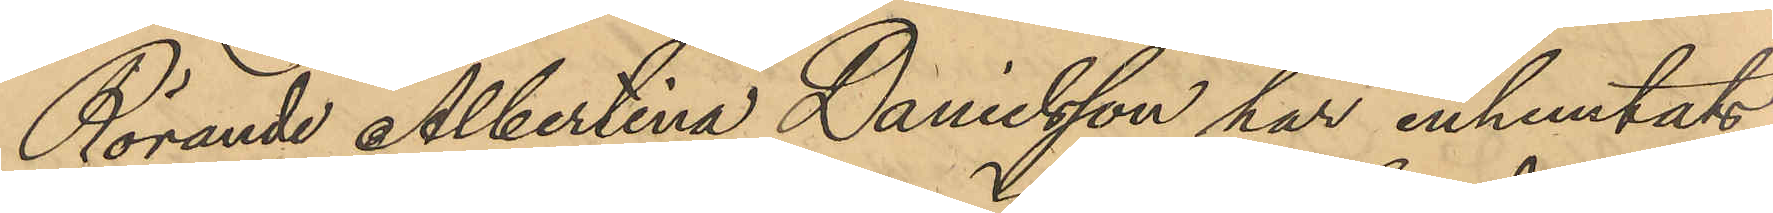Rörande Albertina Danielsson har inhemtat
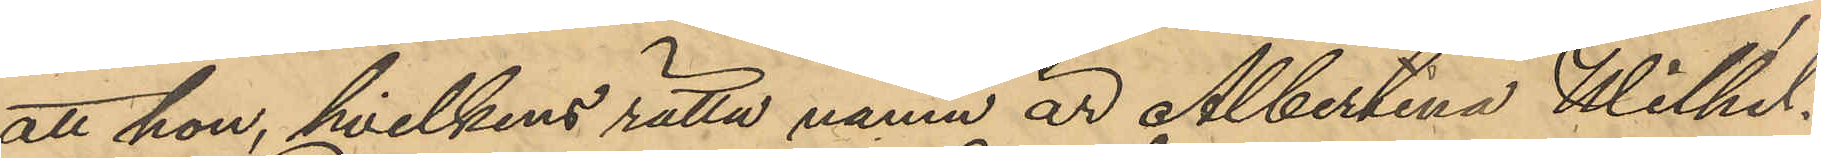att hon, hvilkens rätta namn är Albertina Wilhel¬
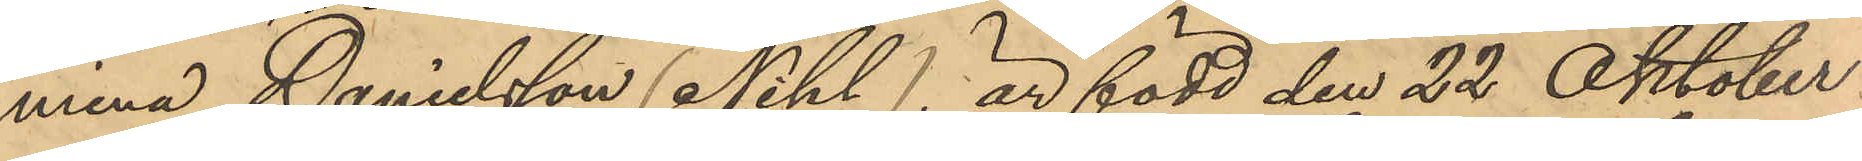mina Danielsson (Nihl) är född den 22 Oktober
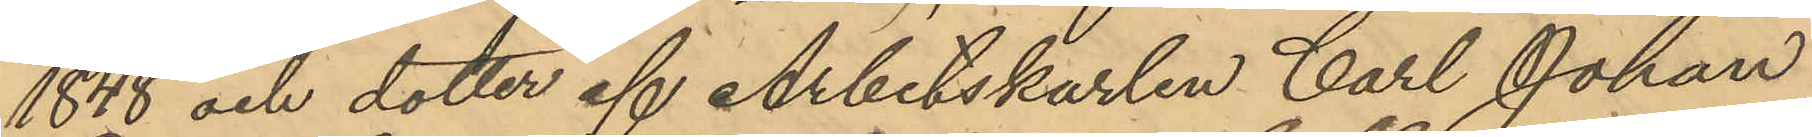1848 och dotter af Arbetskarlen Carl Johan
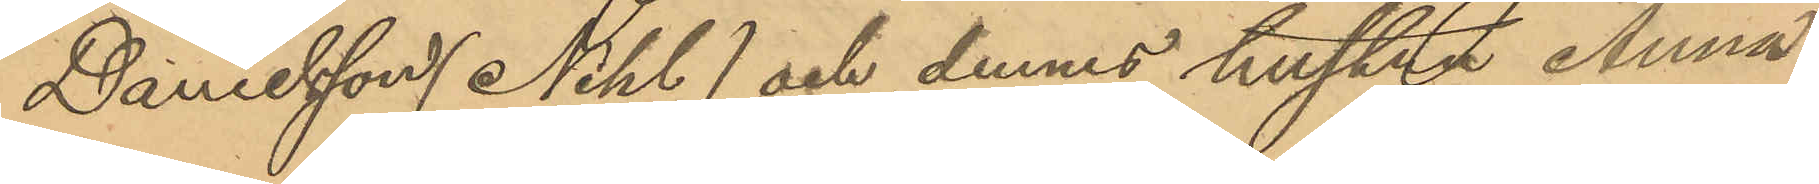Danielsson (Nihl) och dennes hustru Anna
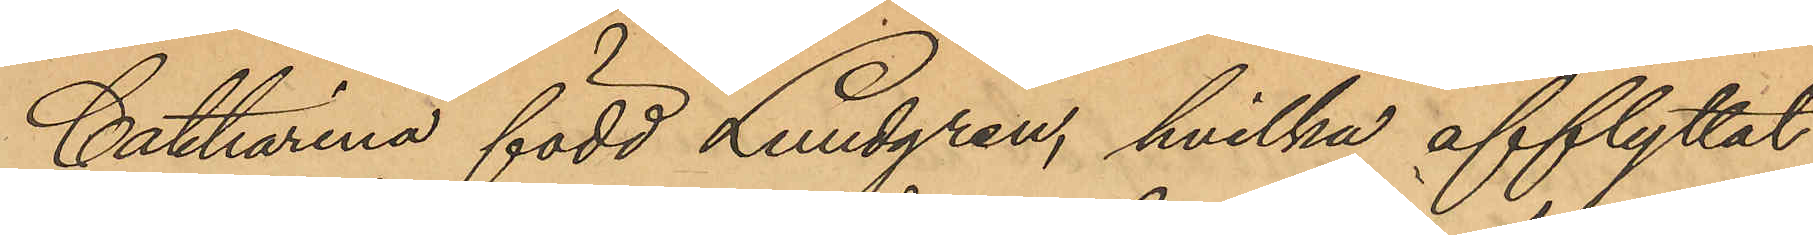Catharina född Lundgren, hvilka afflyttat
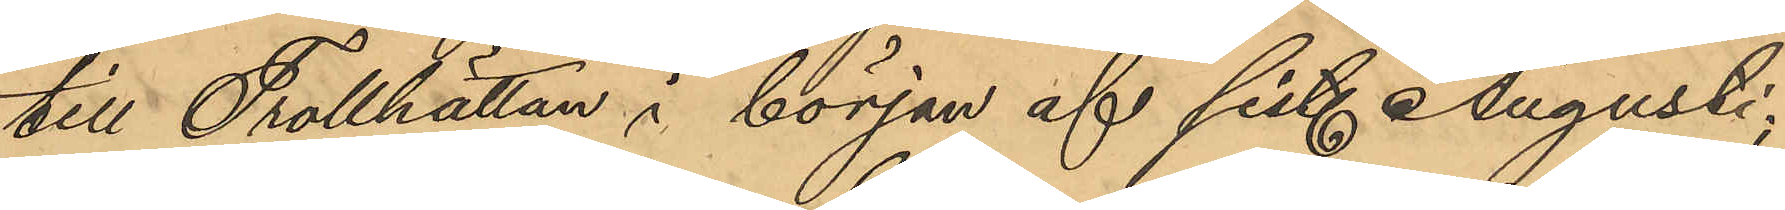till Trollhättan i början af sist. Augusti,
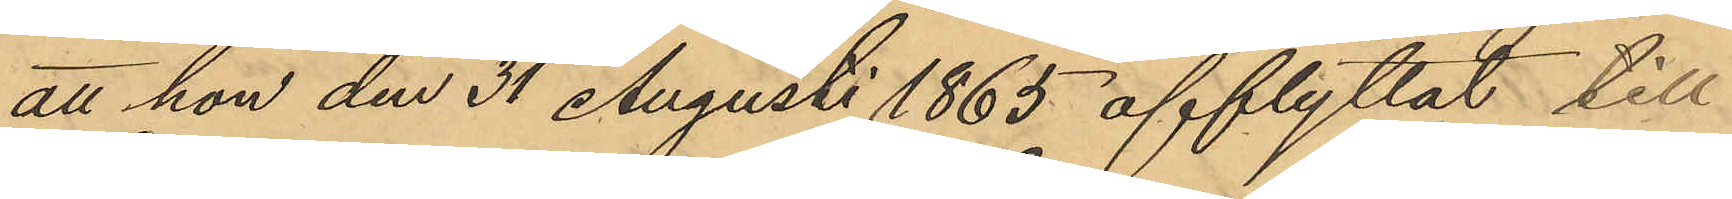att hon den 31 Augusti 1865 afflyttat till
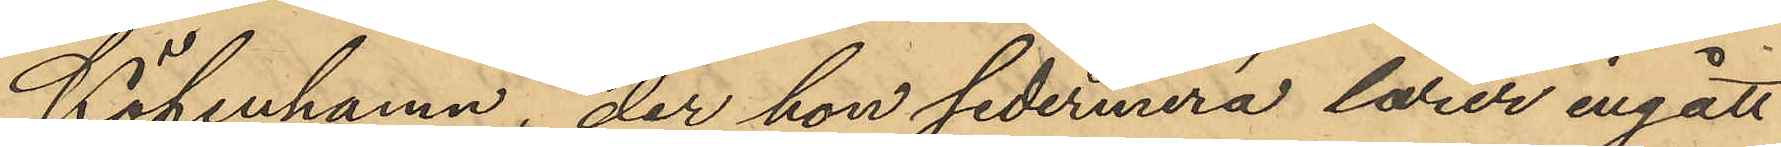Köpenhamn, der hon sedermera lärer ingått
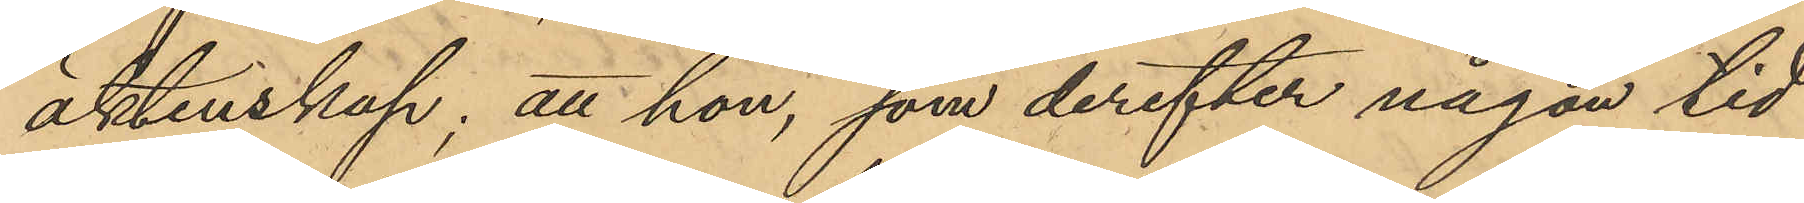äktenskap; att hon, som derefter någon tid
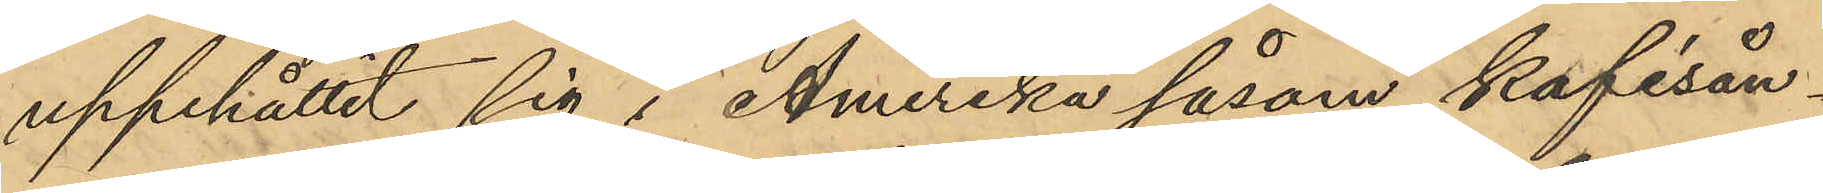uppehållit sig i Amerika såsom kafésån¬
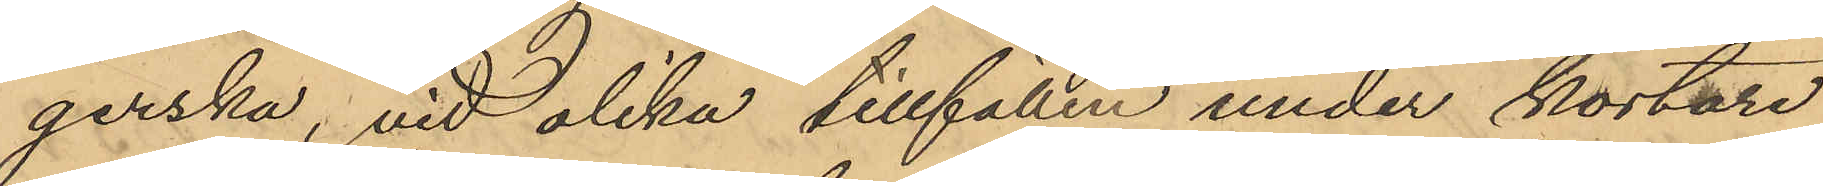gerska, vid olika tillfällen under kortare
